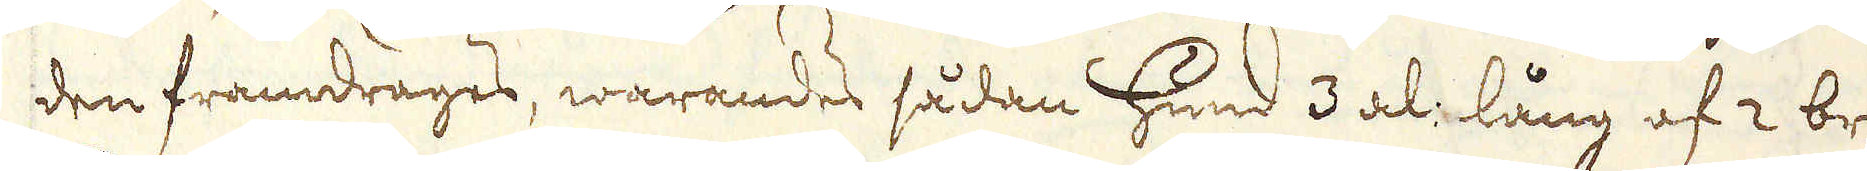den framdrages, warandes sådan Hund 3 al: lång af 2 brädor
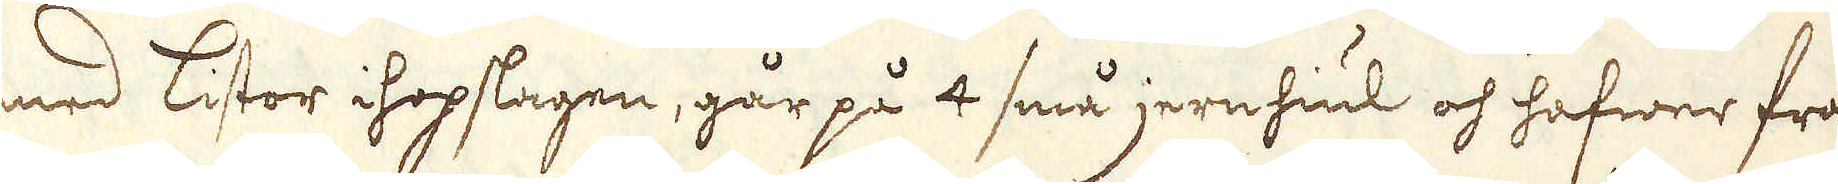med listor ihopslagen, går på 4 små jernhiul och hafwer fram-
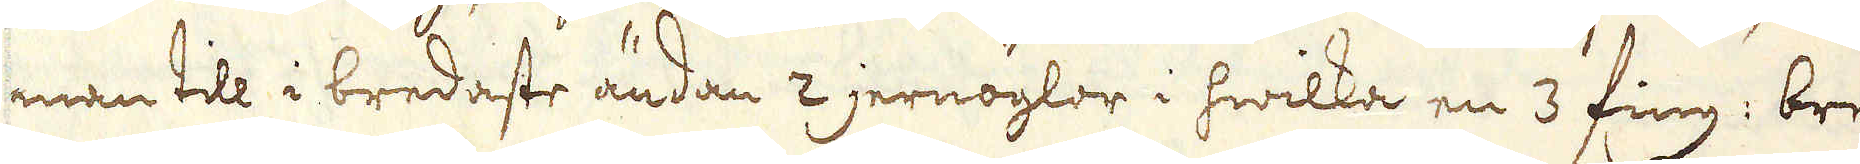man till i bredaste ändan 2 jernöglor i hwilka en 3 fing: bred
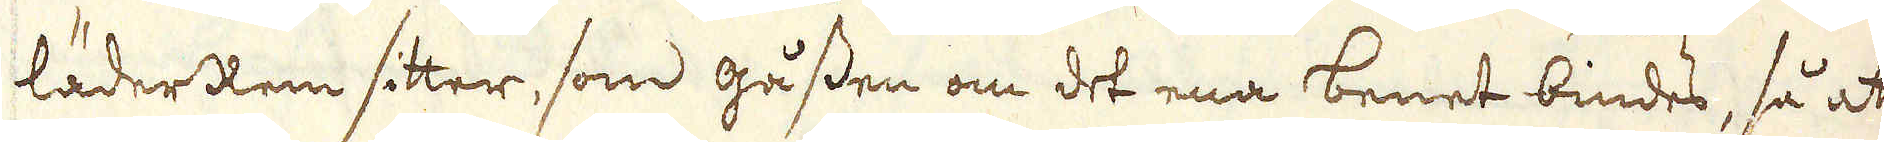läderRem sitter, som gåssen om det ena benet bindes, så att
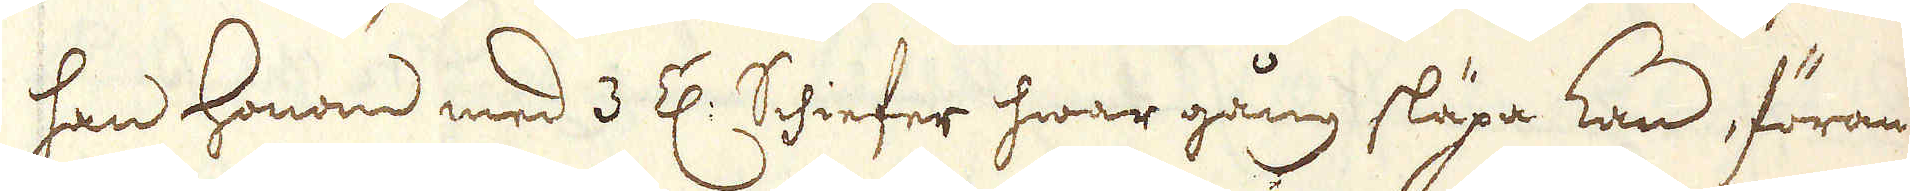han honom med 3 Z: Shiefer hwar gång släpa kan, föran-
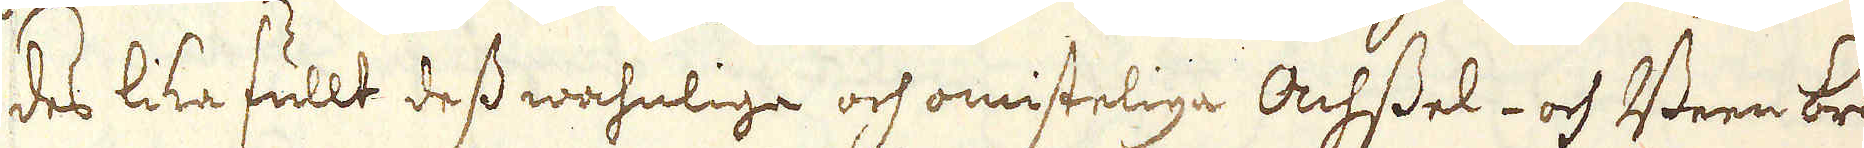des lika fullt dess wahnlige och omisteliga Achssel- och Been brä-
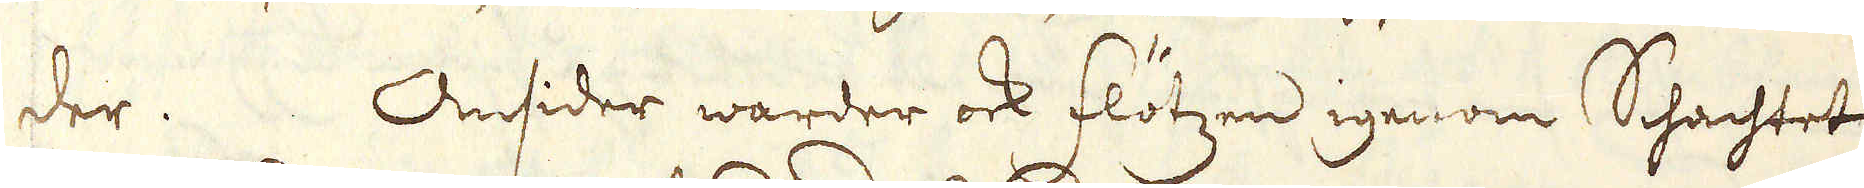der. Omsider warder ock flötzen igenom Schachtet
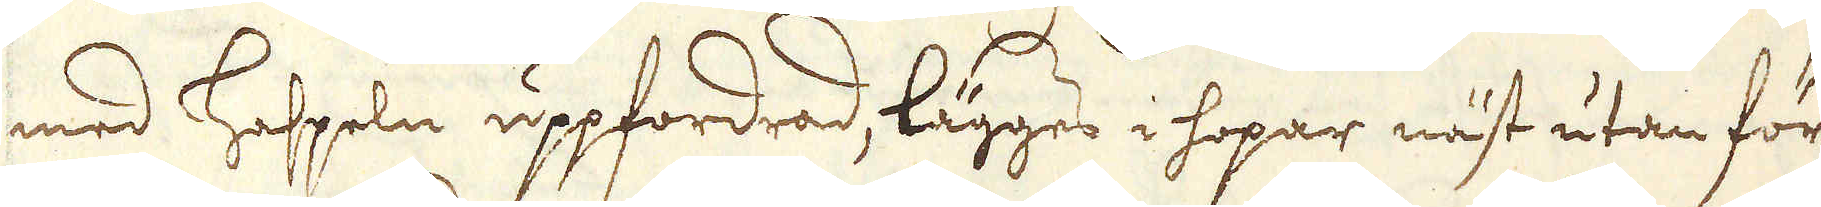med haspeln uppfordrad, lägges i hopar näst utan för
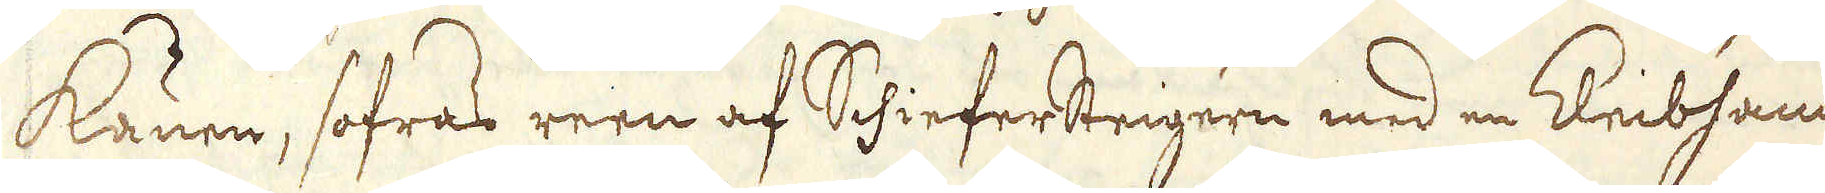Kaunen, sofras reen af SchieferSteigern med en Kleibhammare;
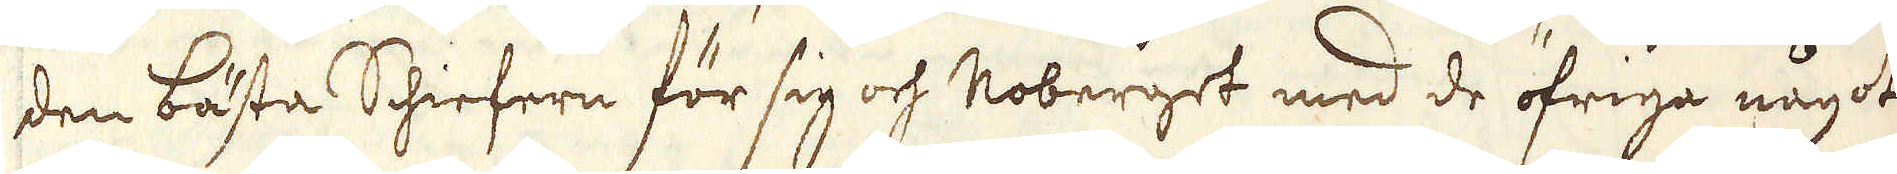den bästa Schiefern för sig och Roberget med de öfriga något
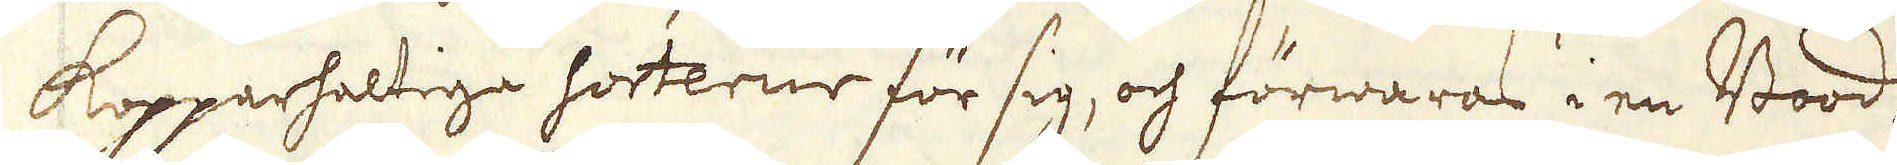Kopparhaltiga sorterne för sig, och förwaras i en Bood,
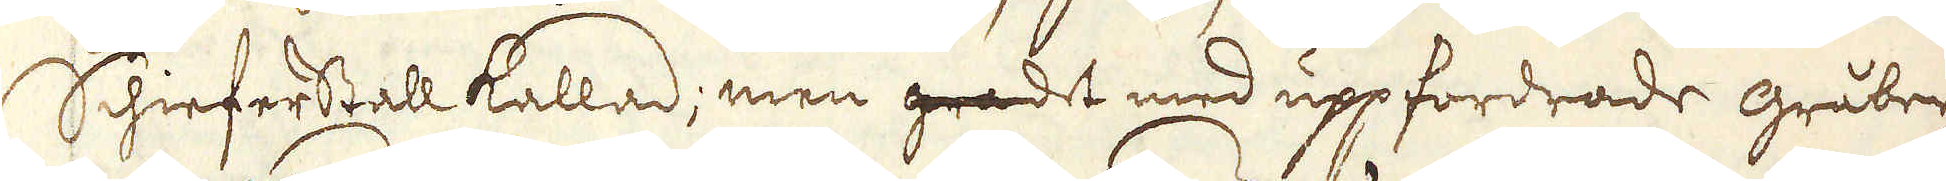Schieferstall kallad; men gradet med uppfordrade gråber-
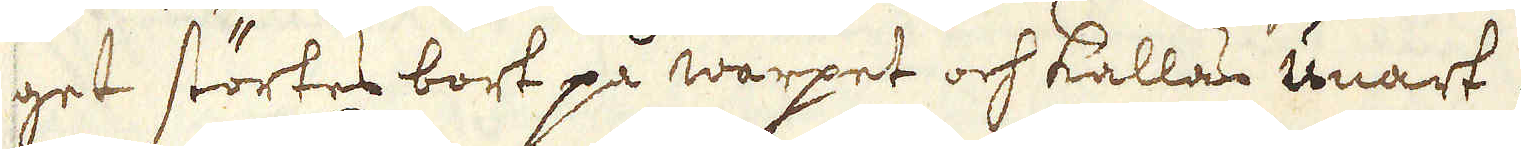get störtes bort på warpet och kallas unart.
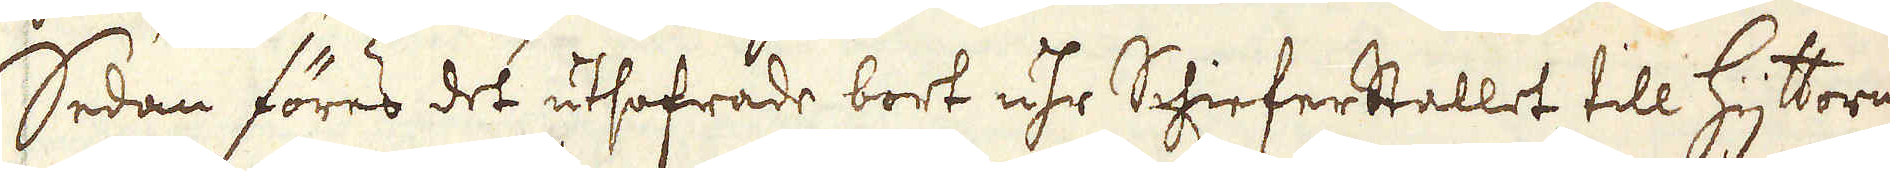Sedan föres det utsofrade bort uhr Schieferstallet till Hyttorne
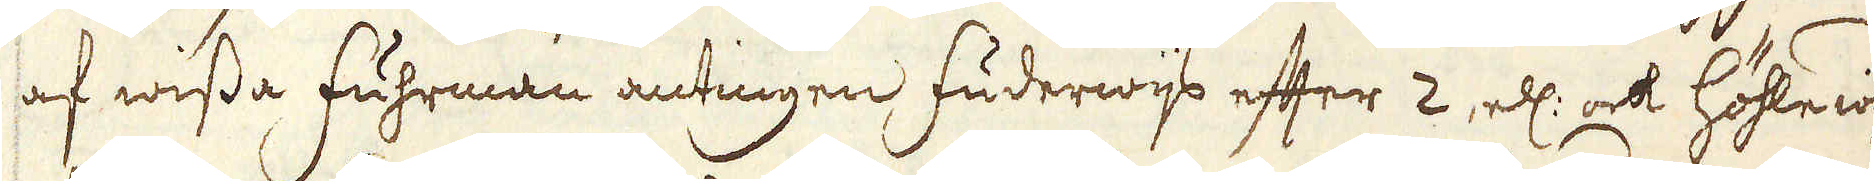af wissa Fuhrmän antingen Fuderwis efter 2, el: ock Höhlewijs
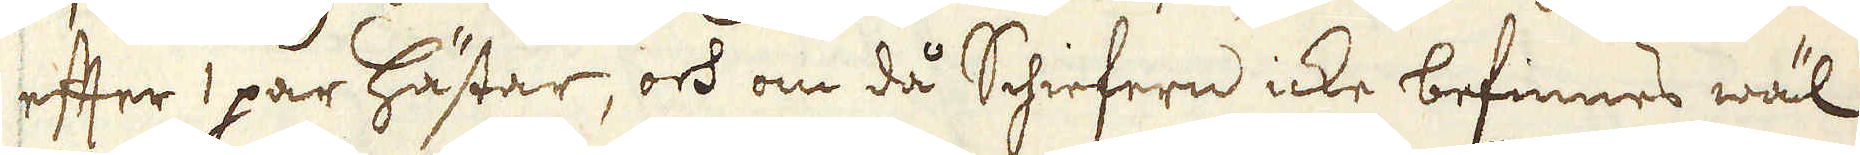efter 1 par hästar, och om då Schiefern icke befinnes wäl
